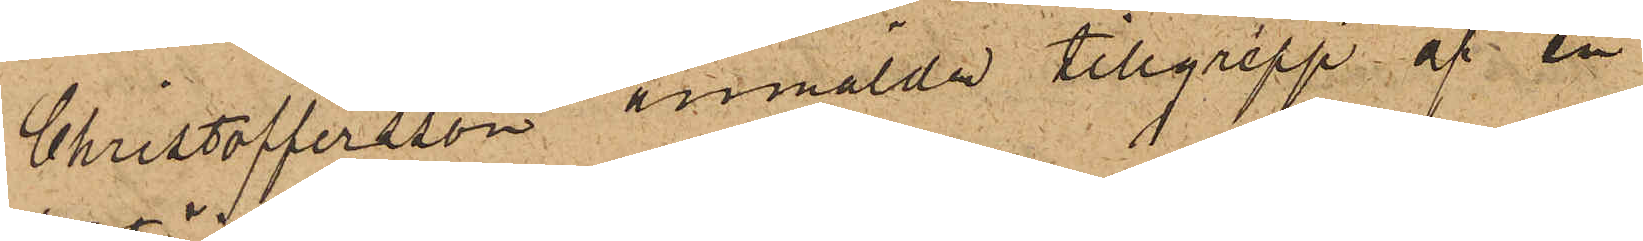Christoffersson anmälde tillgrepp af en
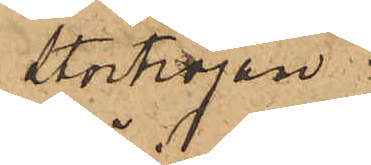Stortröjan.
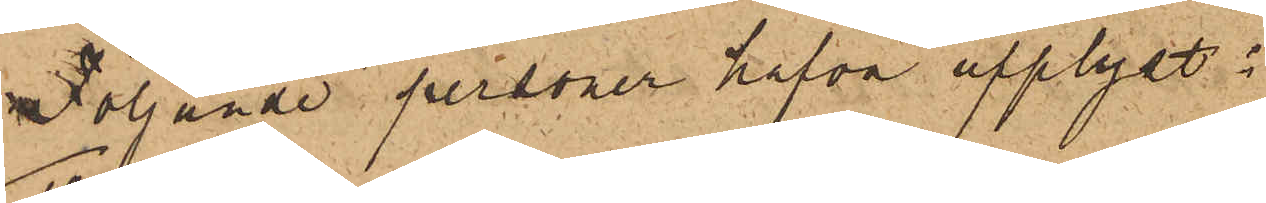Följande personer hafva upplyst:
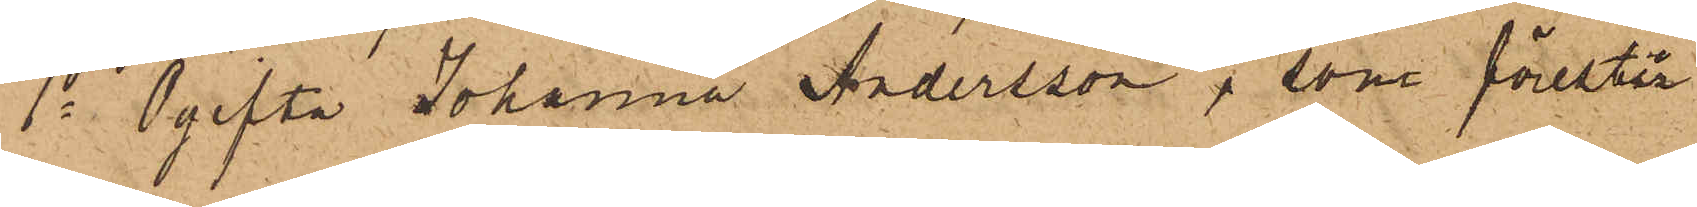1o Ogifta Johanna Andersson, som förestår
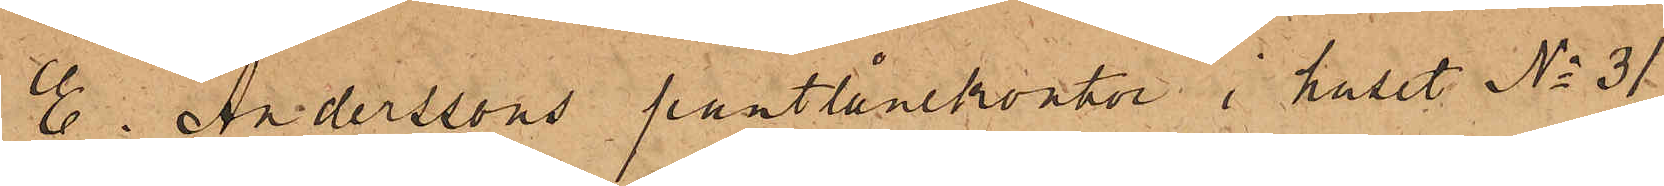E. Anderssons pantlånekontor i huset No 31
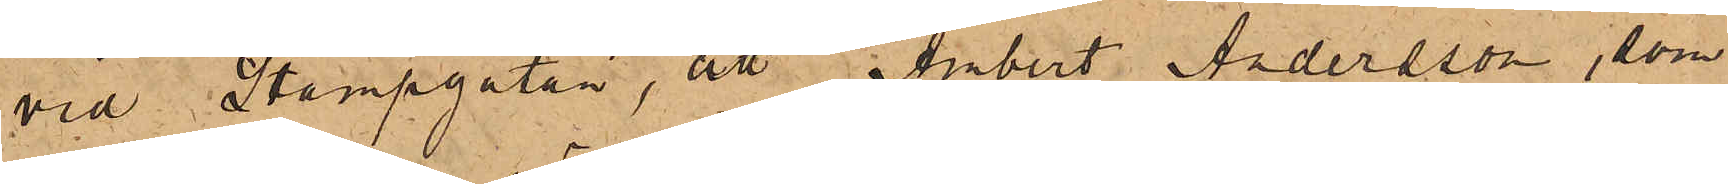vid Stampgatan, att Ambert Andersson, som
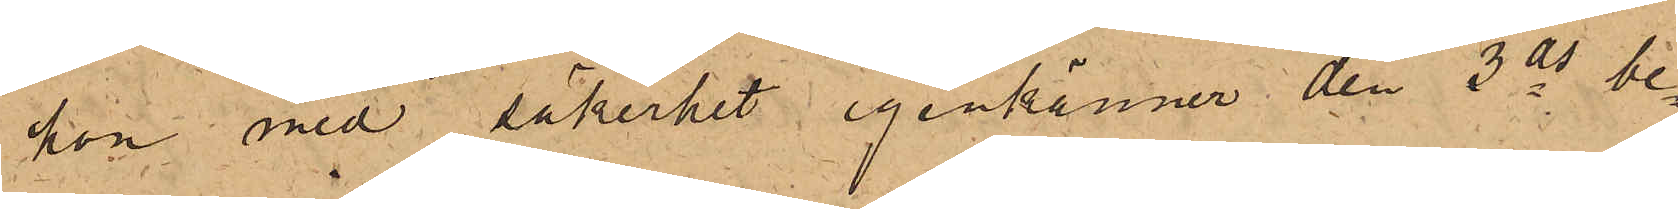hon med säkerhet igenkänner den 3 ds be¬
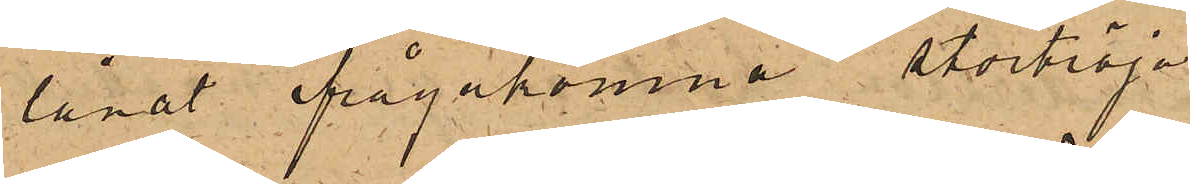lånat ifrågakomne stortröja.
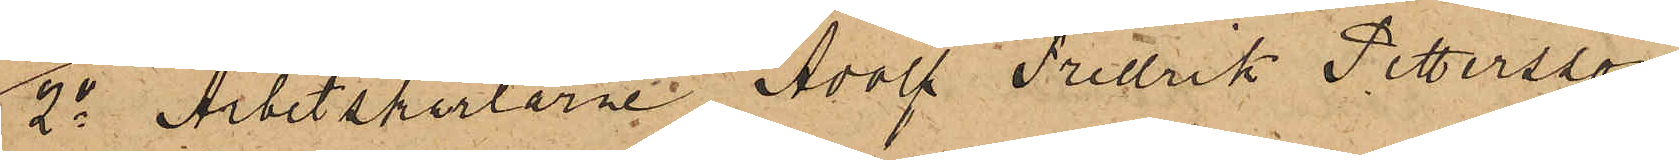2o Arbetskarlarne Adolf Fredrik Pettersson
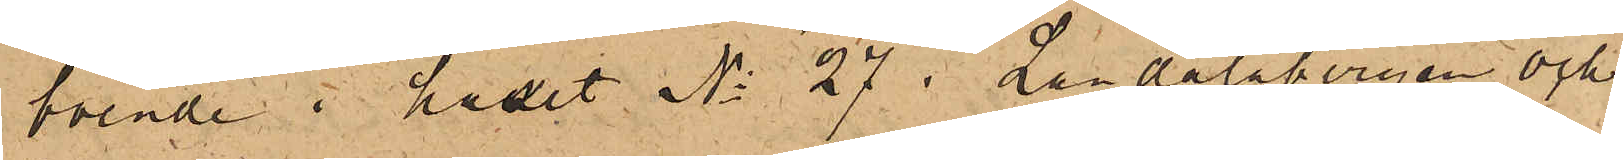boende i huset No 27 i Landalabergen och
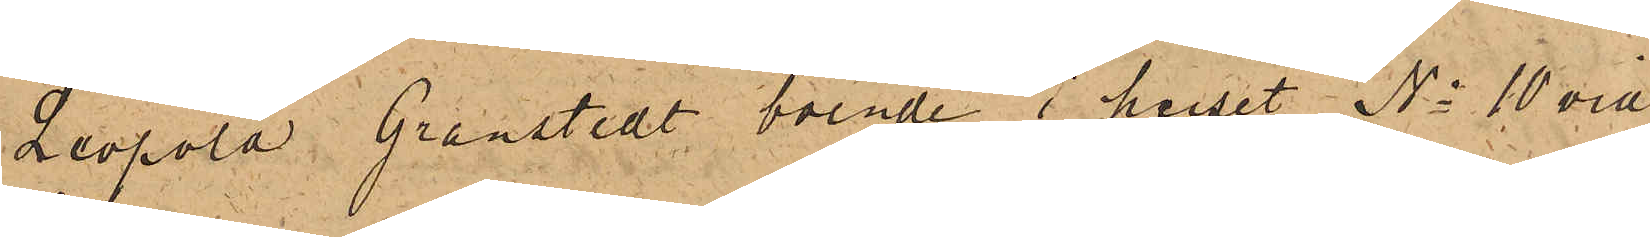Leopold Granstedt, boende i huset No 10 vid
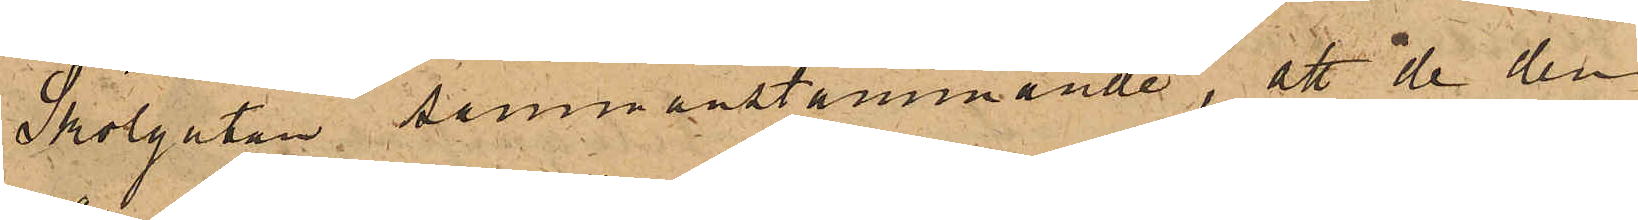Skolgatan sammanstämmande, att de den
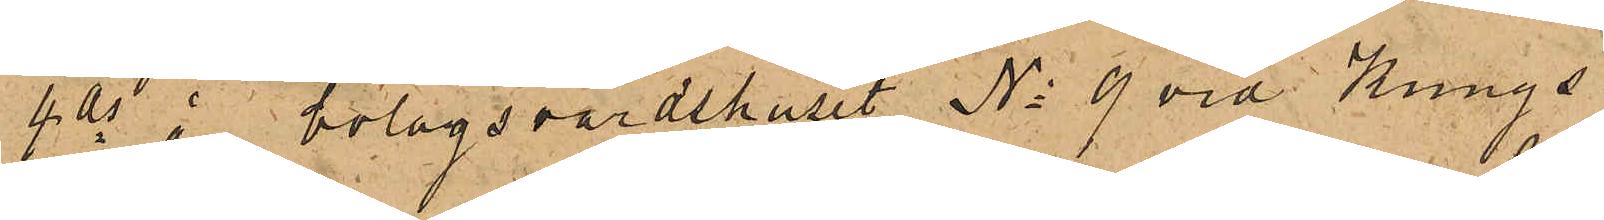4 ds å bolagsvärdshuset No 9 vid Kungs¬
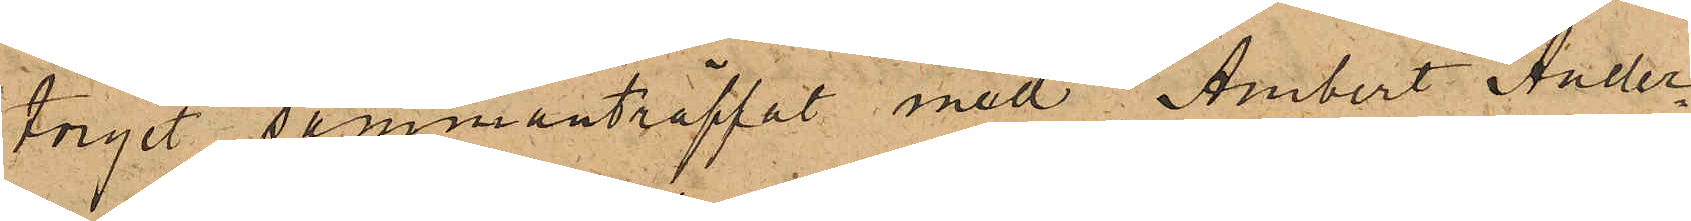torget sammanträffat med Ambert Ander¬
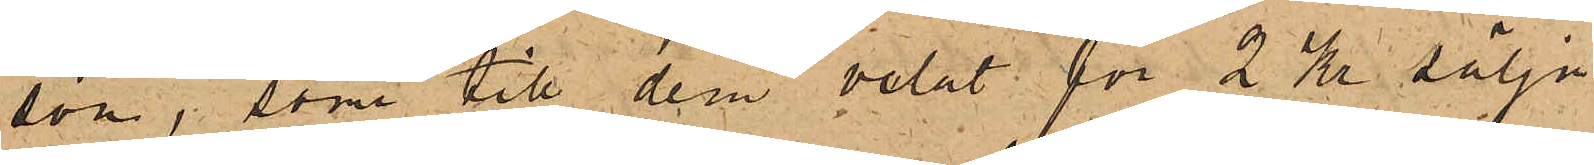son, som till dem velat för 2 Kr sälja
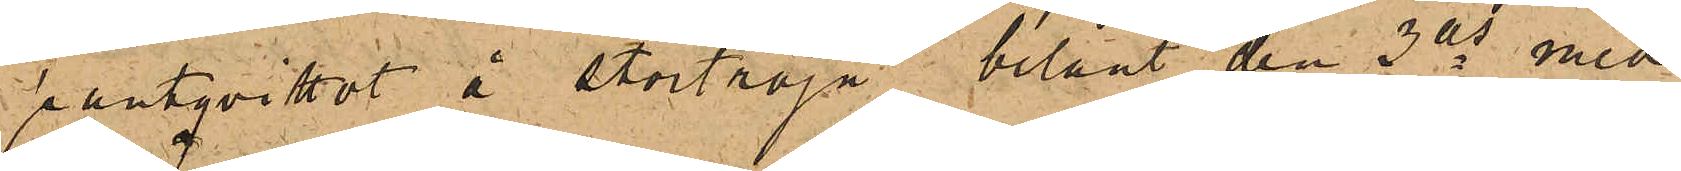pantqvittot å stortröja, belånt den 3 ds med
